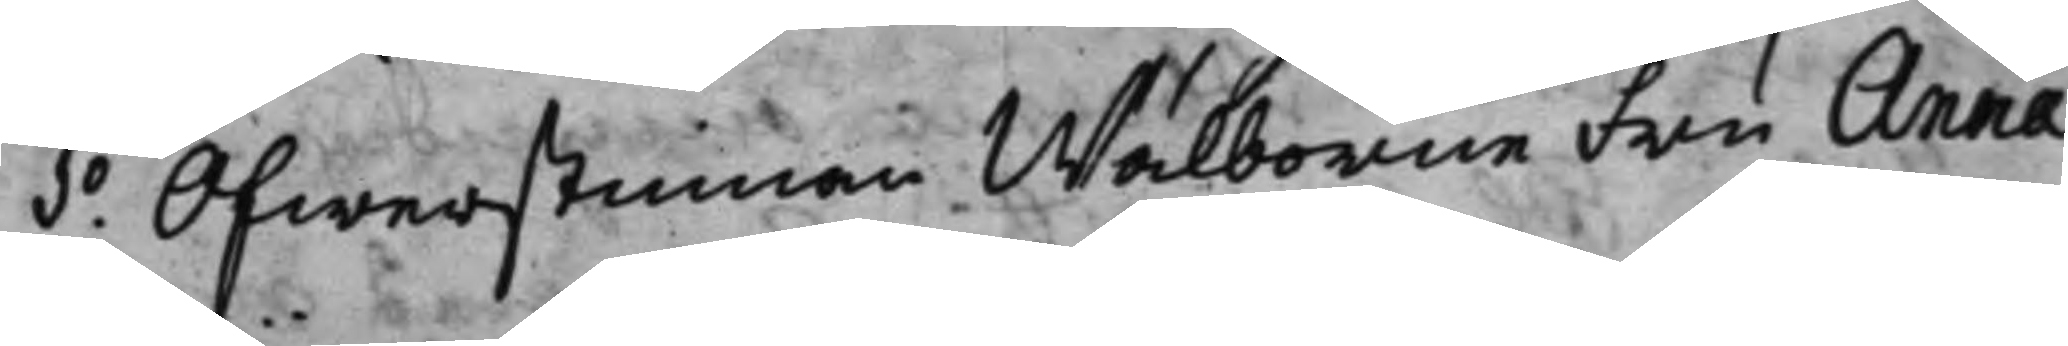1.o Ofwerstinnan Wälborne Fru Anna
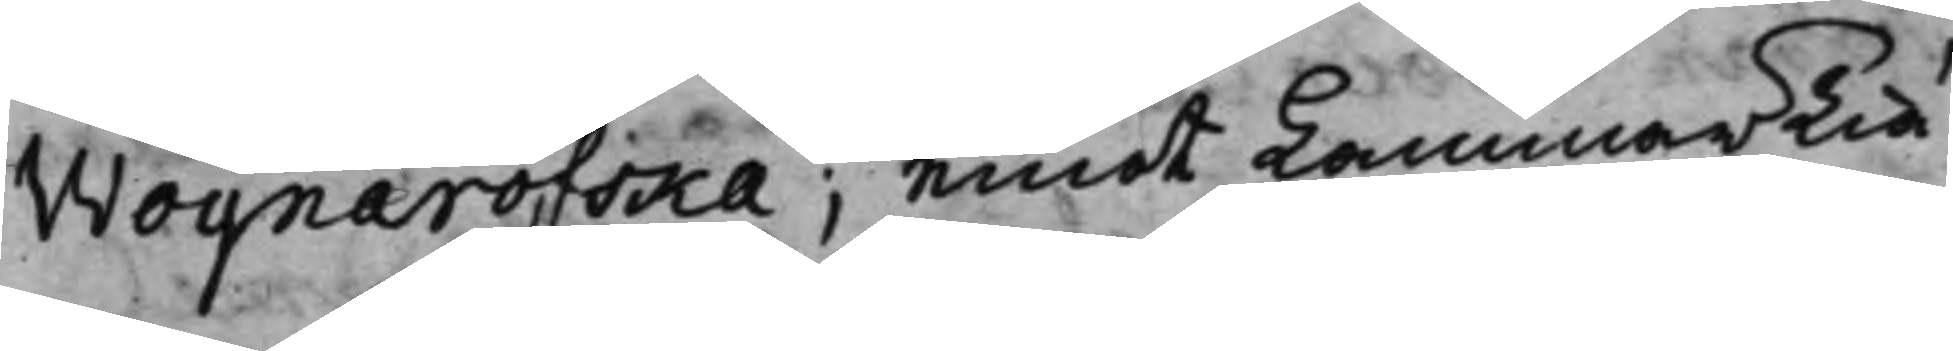Woynarofska; emot KammarTiä¬
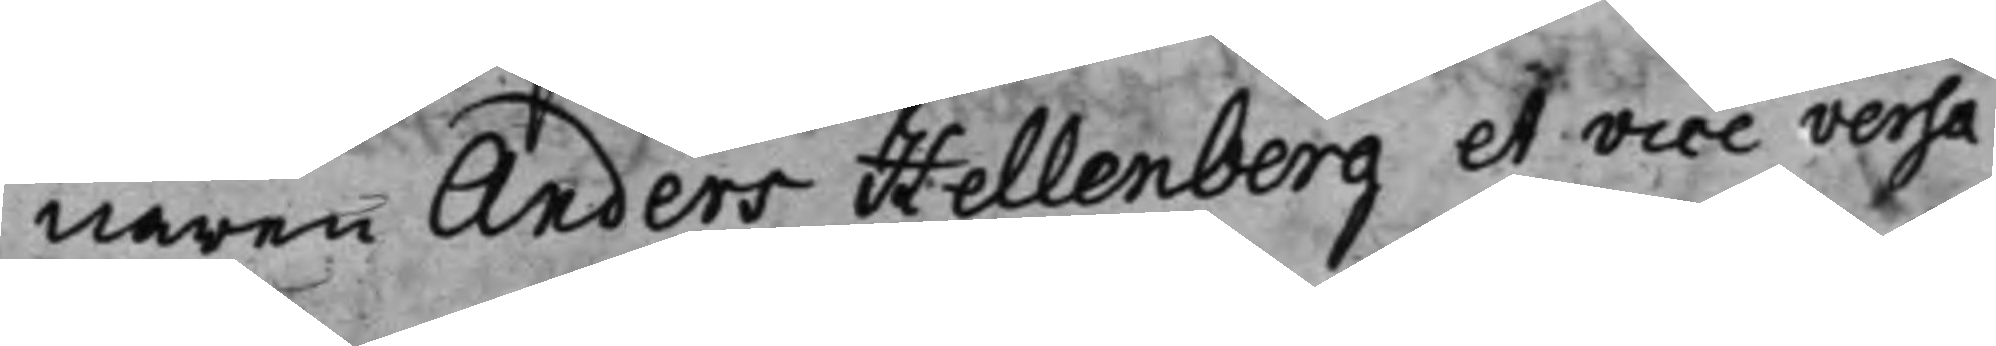naren Anders Hellenberg et vice versa.
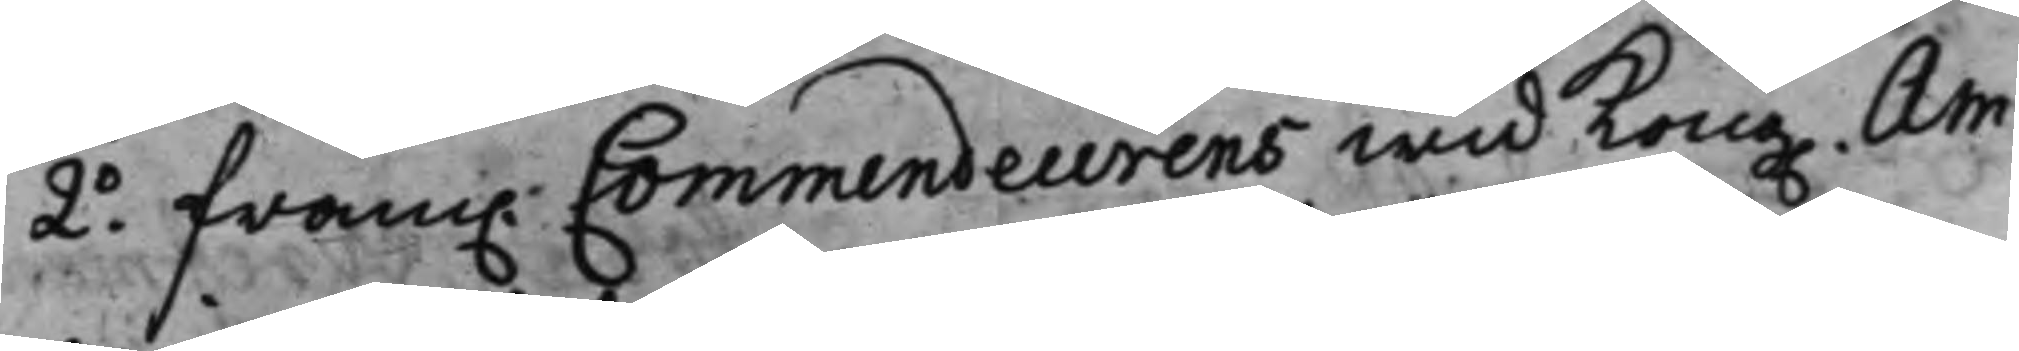2.o fram. Commendeurens wid Kong. Am¬
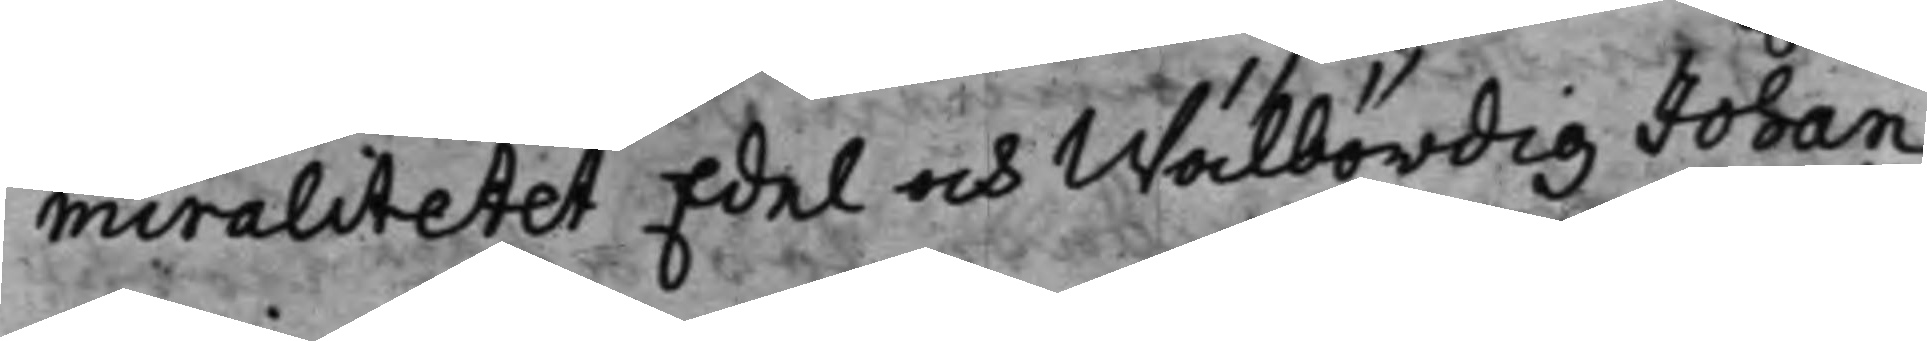miralitetet Edel och Wälbördig Johan
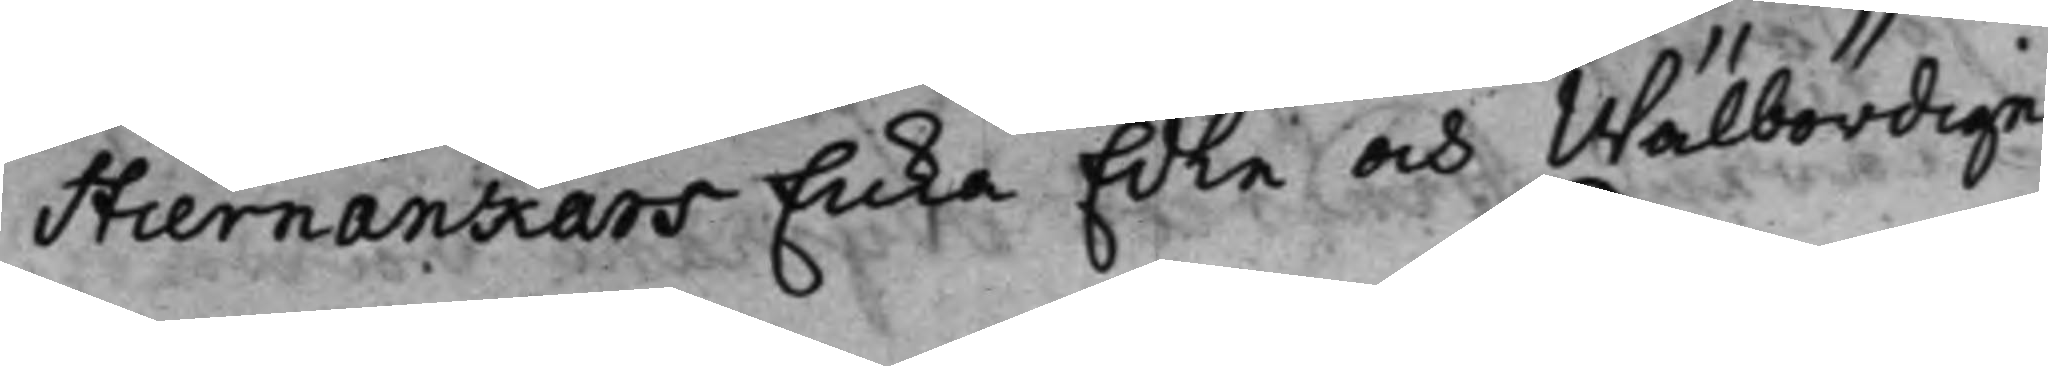Stiernankars Enka Edle och Wälbördige
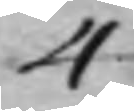4
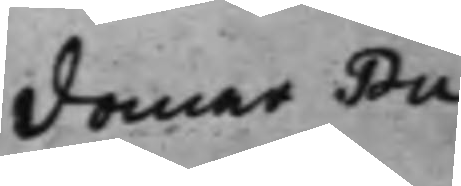domar Pu¬
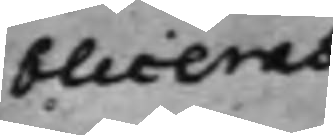bliceras
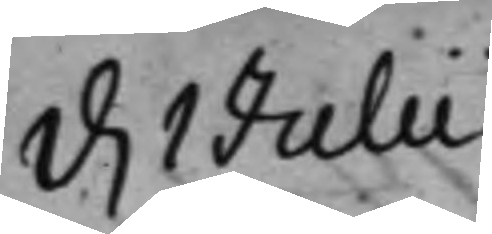d. 1 Julii.
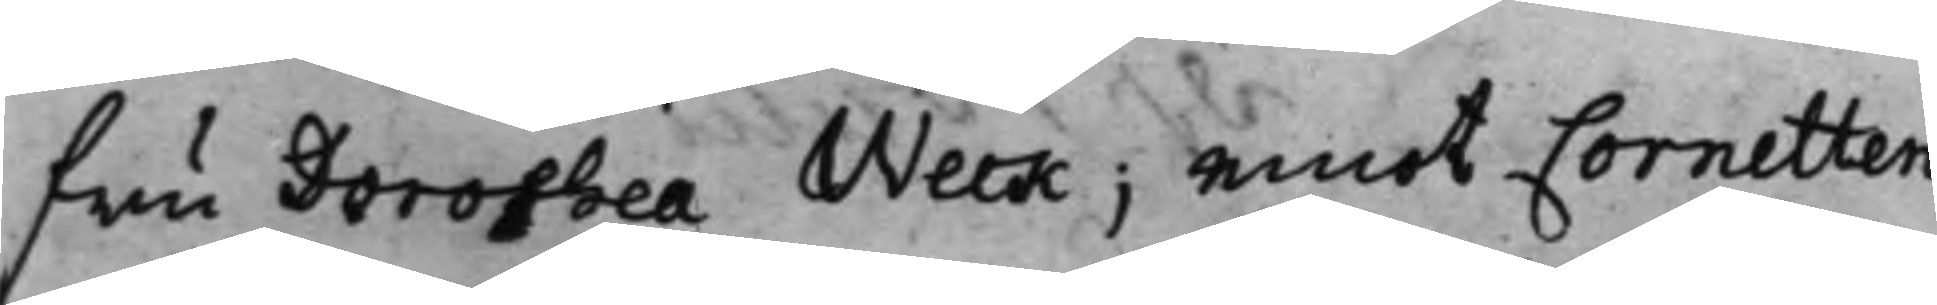fru Dorothea Weck; emot Cornetten
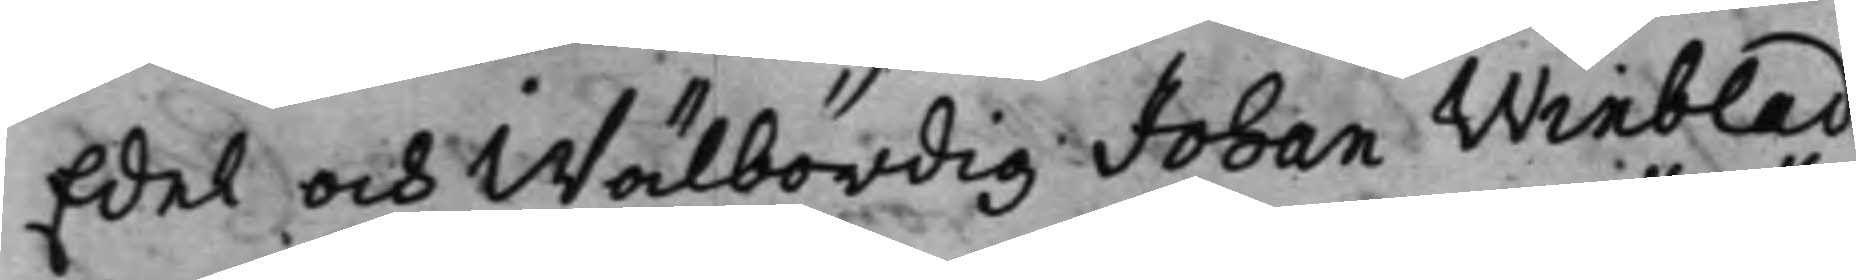Edel och Wälbördig Johan Winblad,
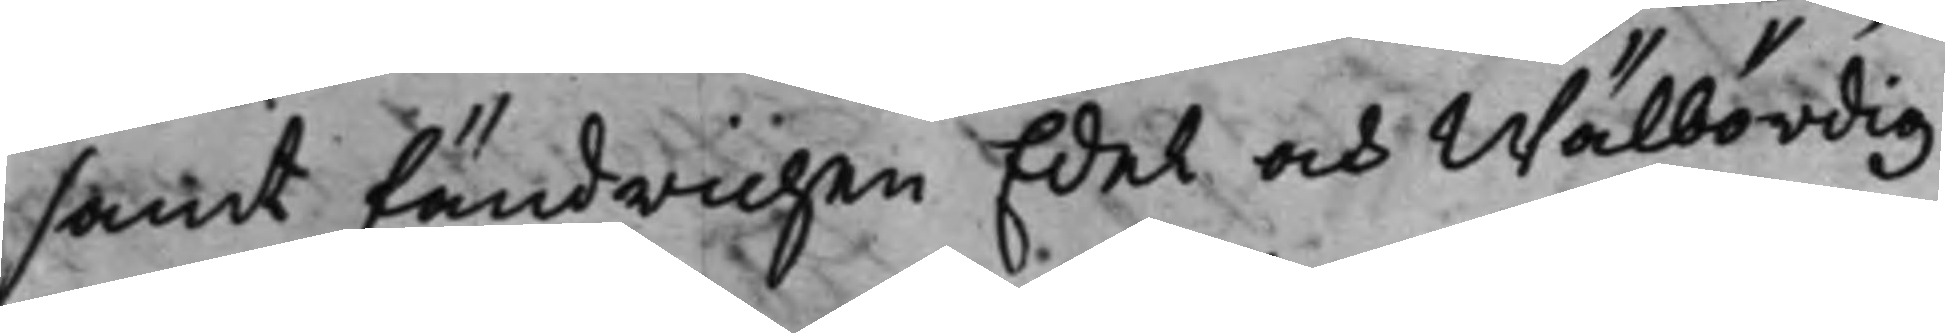samt fändrichen Edel och Wälbördig
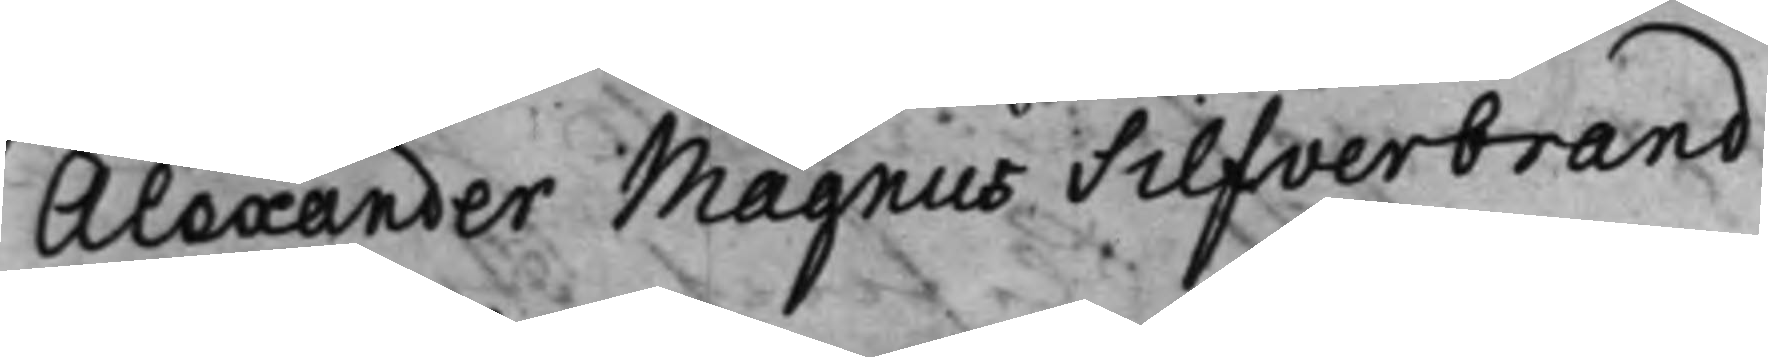Alexander Magnus Silfverbrand.
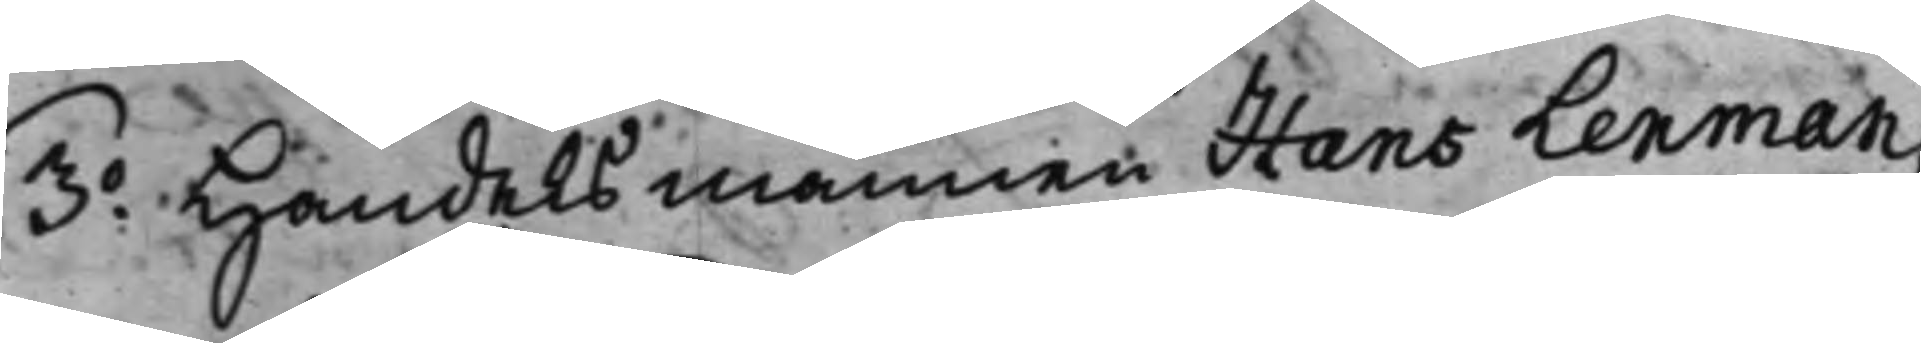3.o Handelsmannen Hans Lenman;
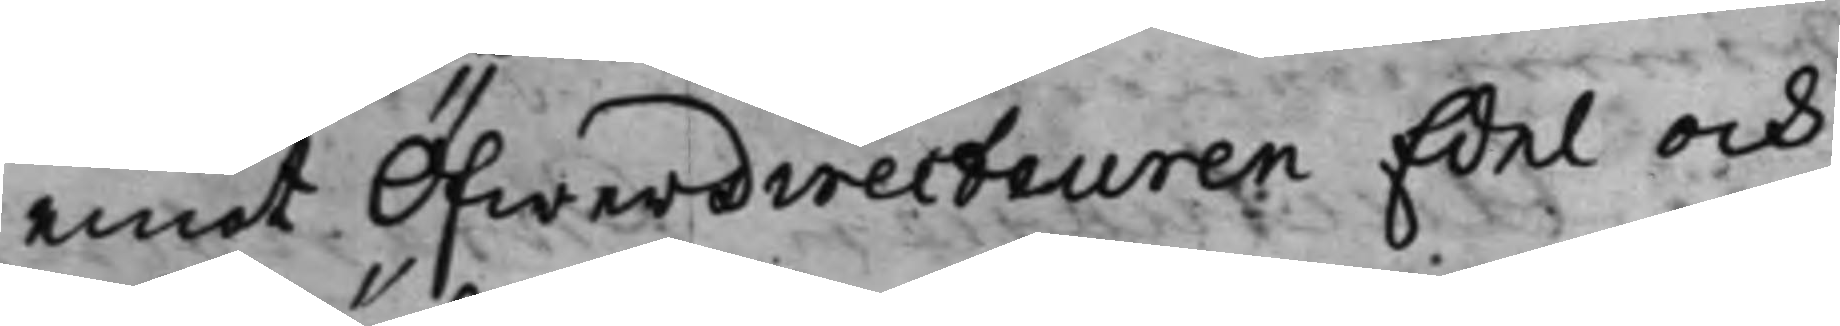emot Öfwerdirecteuren Edel och
